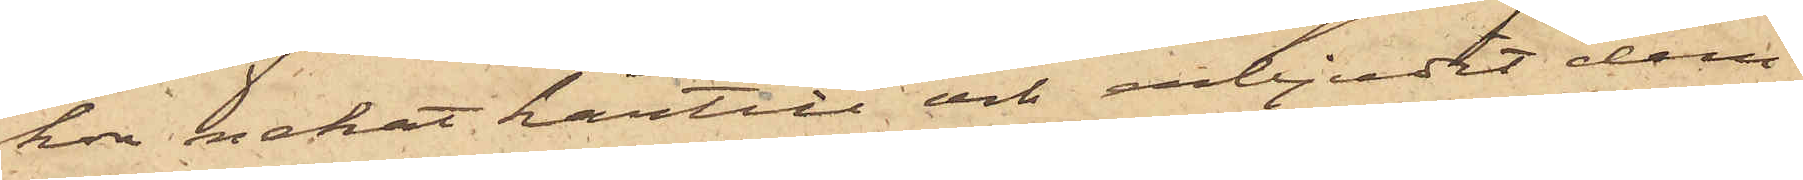hon nekat härtill och erbjudit dem
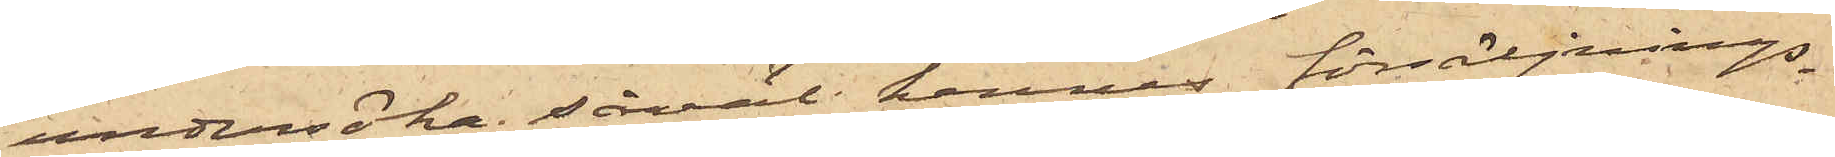undersöka såväl hennes försäljnings¬
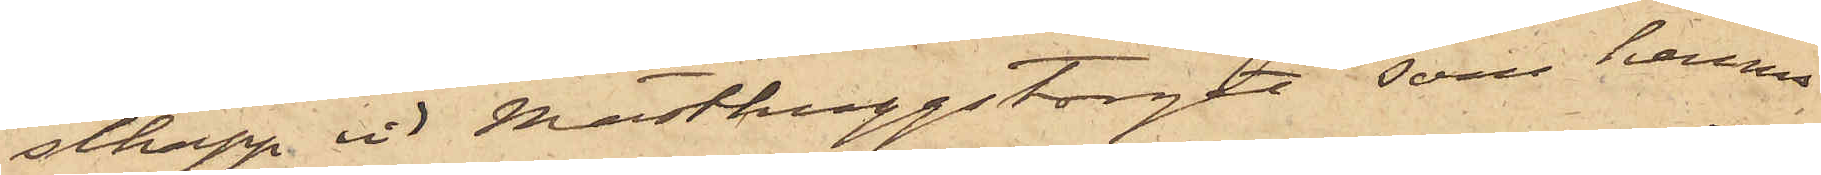schapp vid Masthuggstorget som hennes
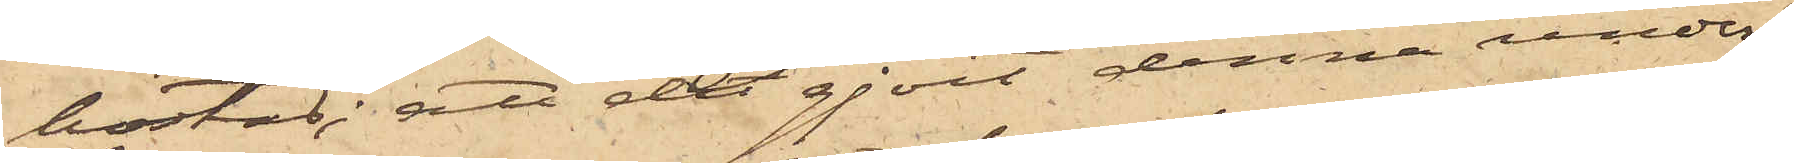bostad; att de gjort denna under¬
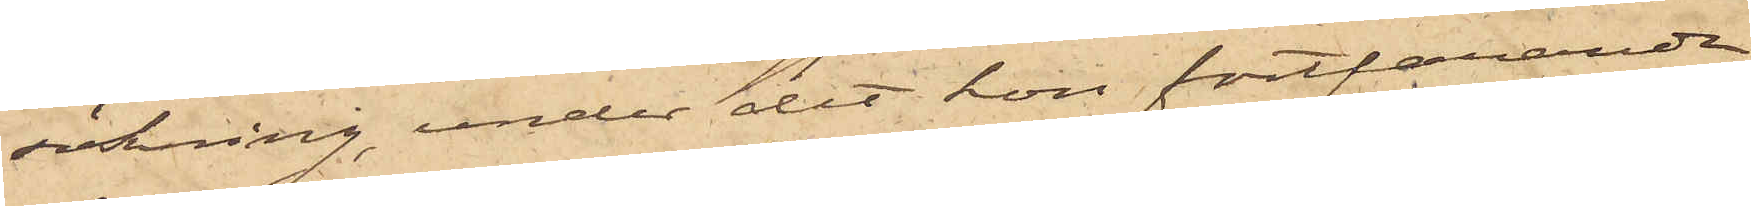sökning, under det hon fortfarande
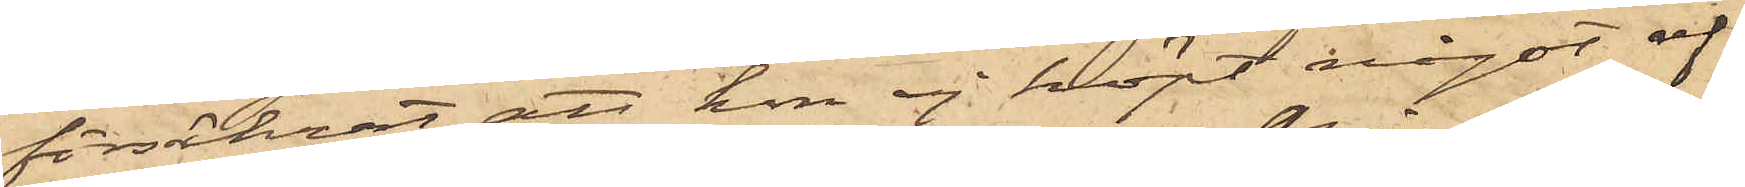försäkrat att hon ej köpt något af
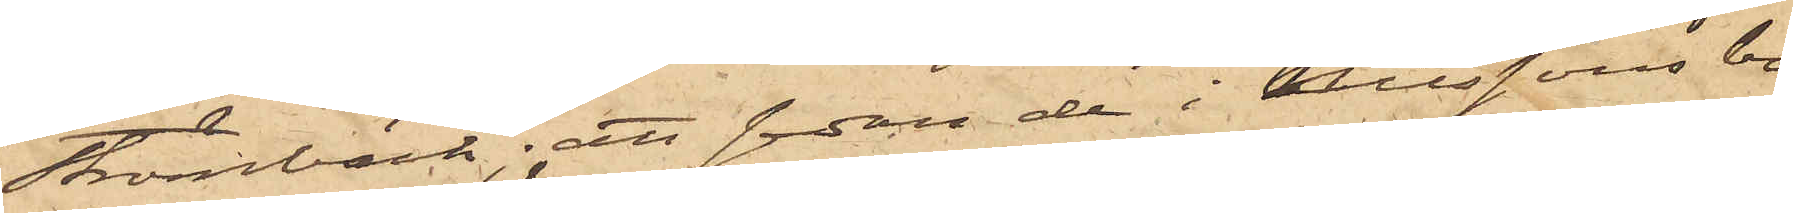Strömbäck; att sedan de i Nilssons bo¬
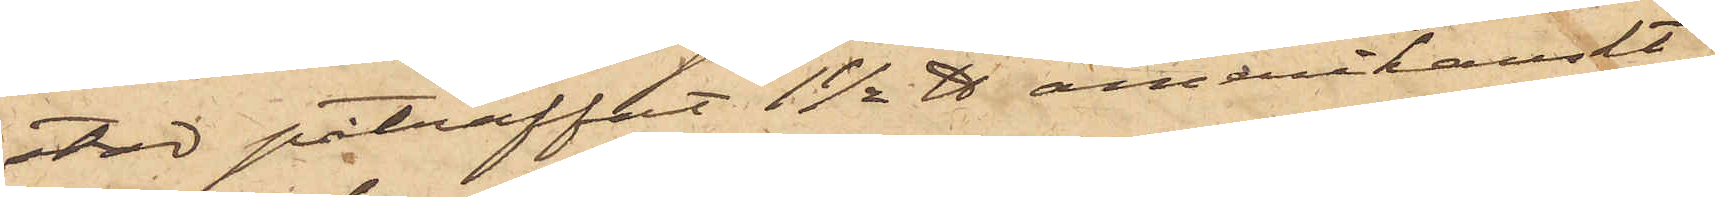stad påträffat 1½ ℔ amerikanskt
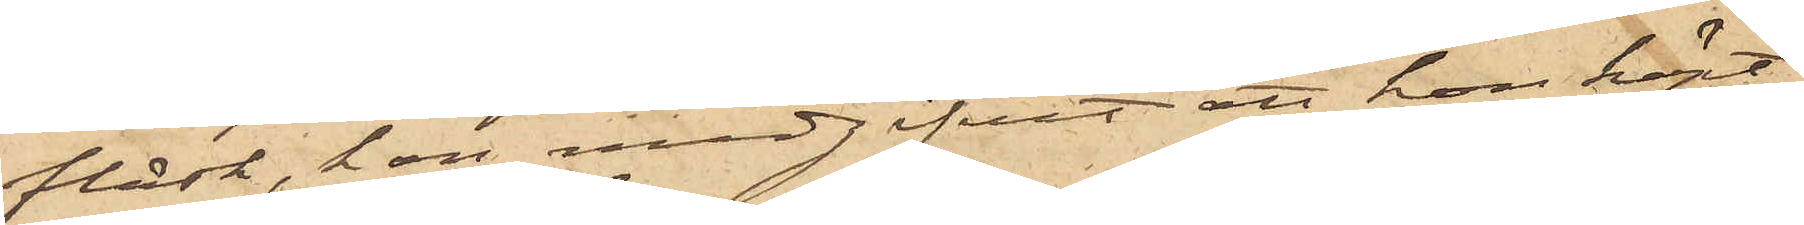fläsk, hon medgifvit att hon köpt
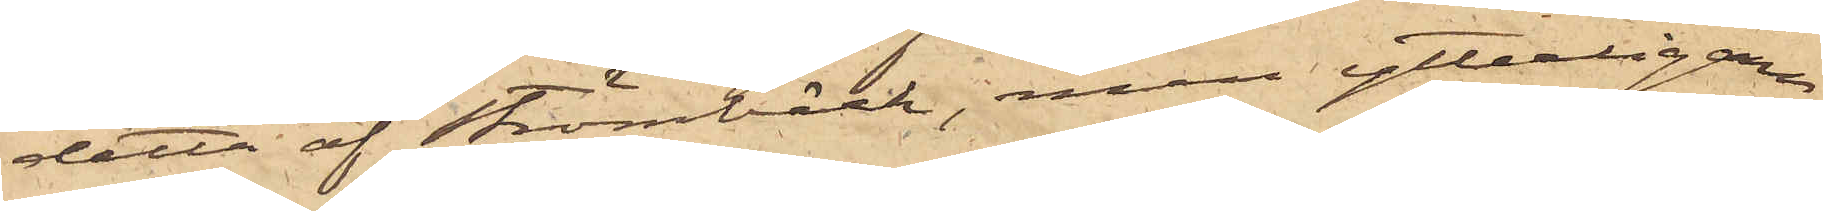detta af Strömbäck, men ytterligare
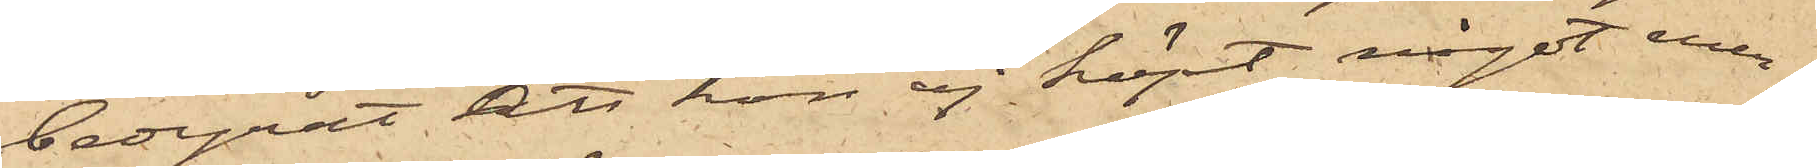bedyrat att hon ej köpt något mer;
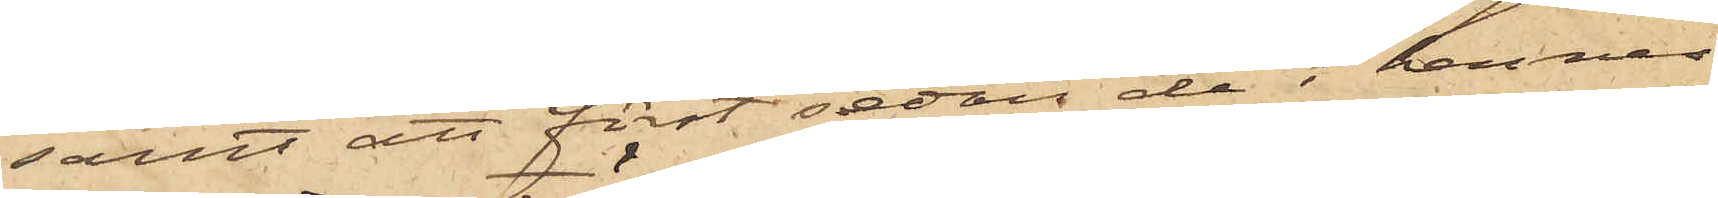samt att först sedan de i hennes
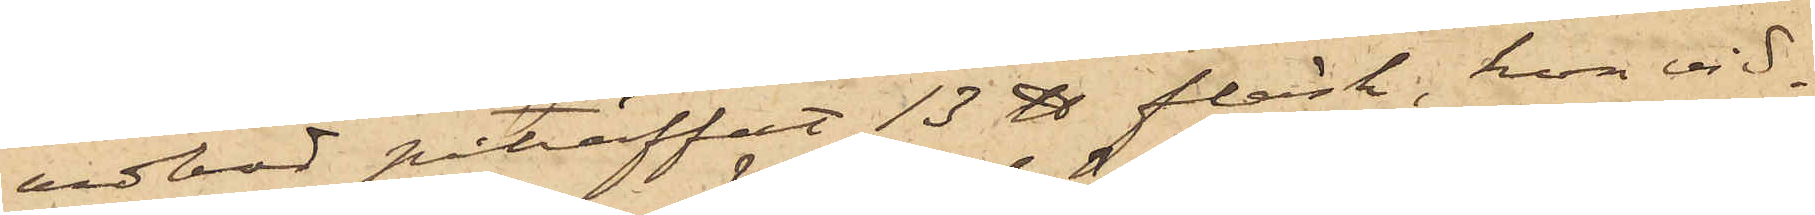vedbod påträffat 13 ℔ fläsk, hon vid¬
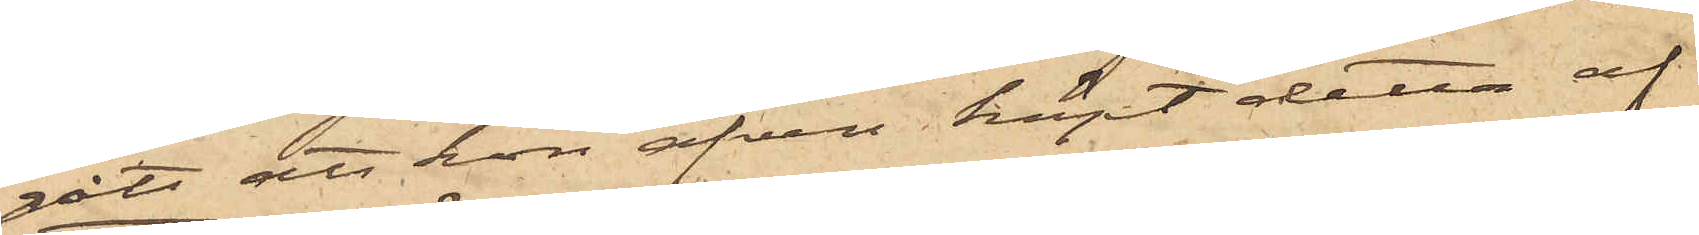gått att hon äfven köpt detta af
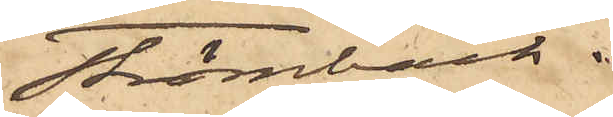Strömbäck.
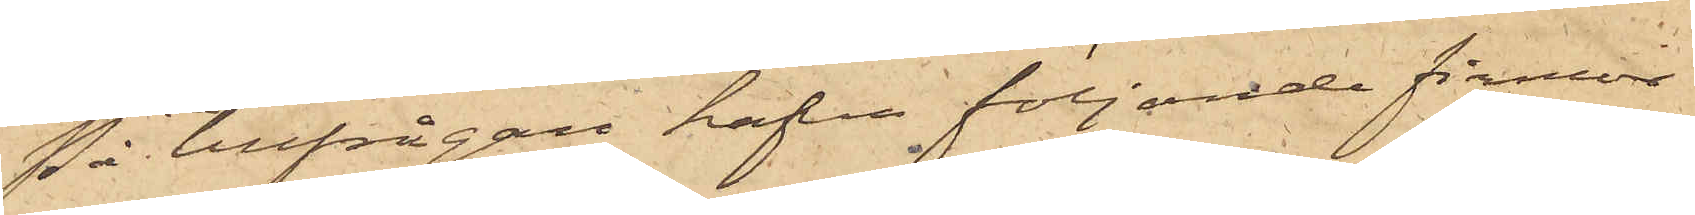På tillfrågan hafva följande firmor
